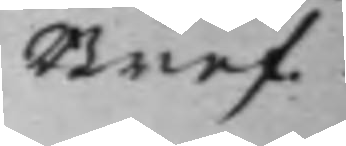Bref.
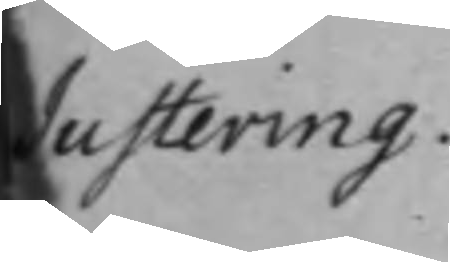Justering.
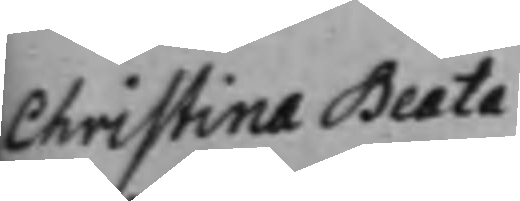Christina Beata
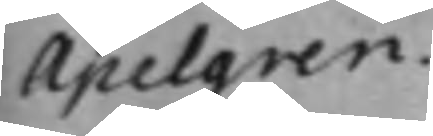Apelgren
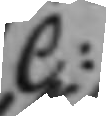C:
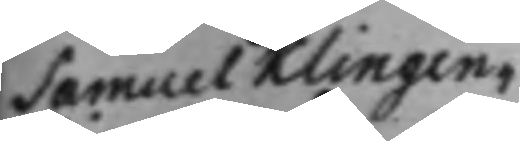Samuel Klingen¬
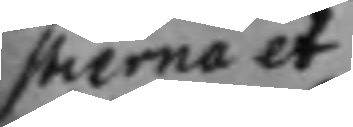stierna et
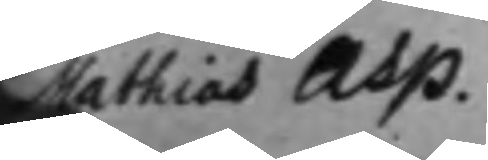Mathias Asp.
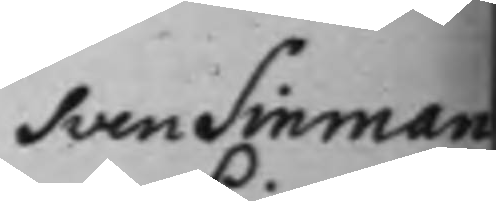Sven Sinman
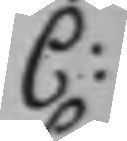C:
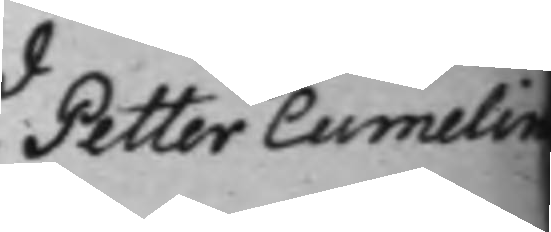Petter Cumelin
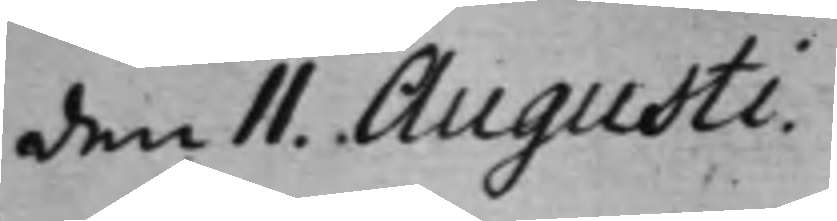den 11. Augusti
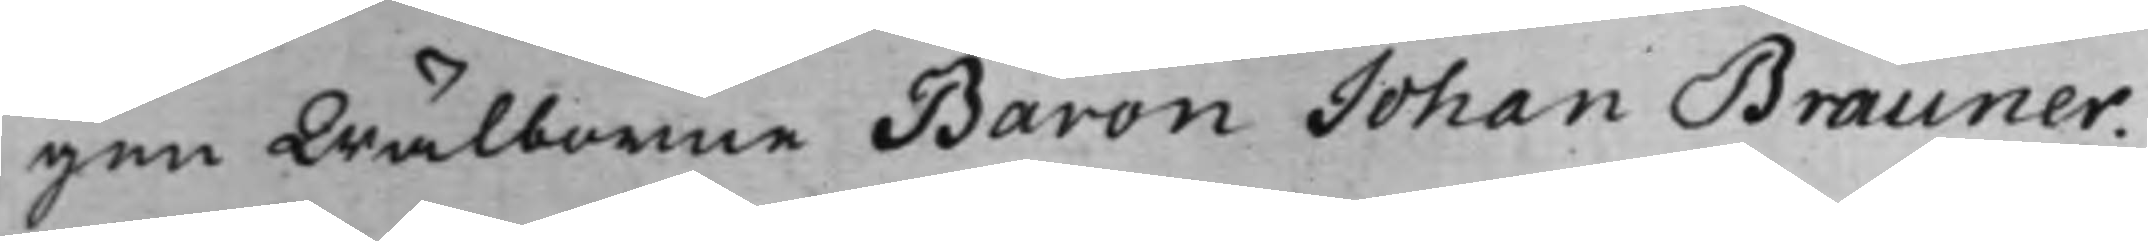gen Wälborne Baron Johan Brauner.
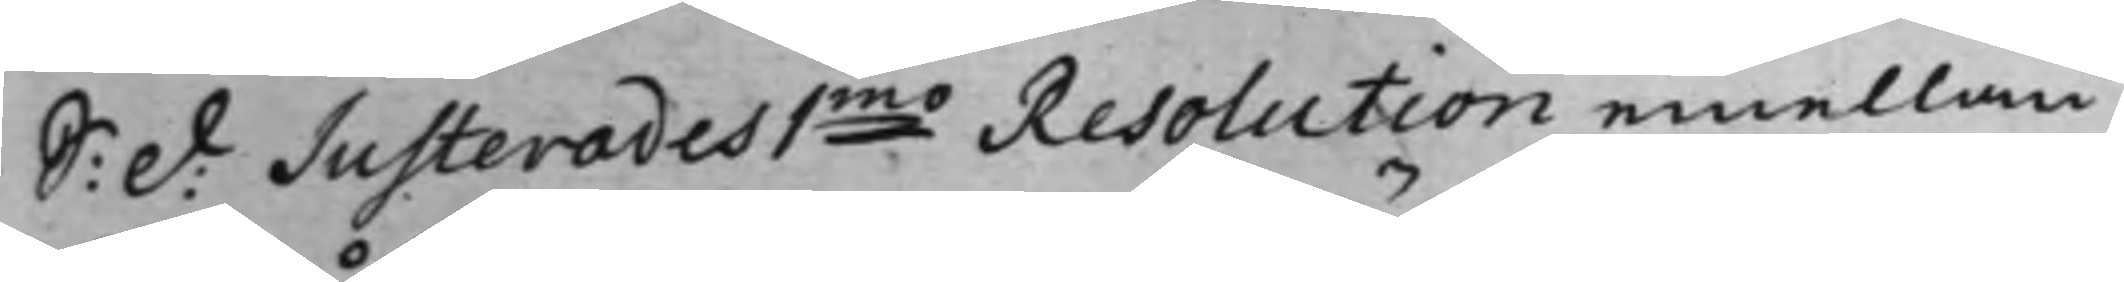S: d: Justerades 1mo Resolution emellan
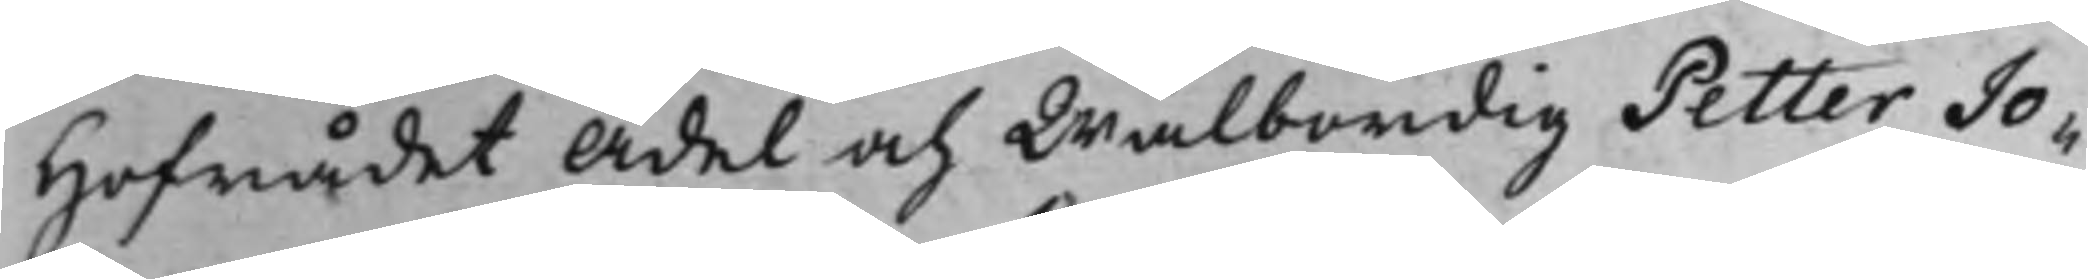Hofrådet Ädel och Wälbördig Petter Jo¬
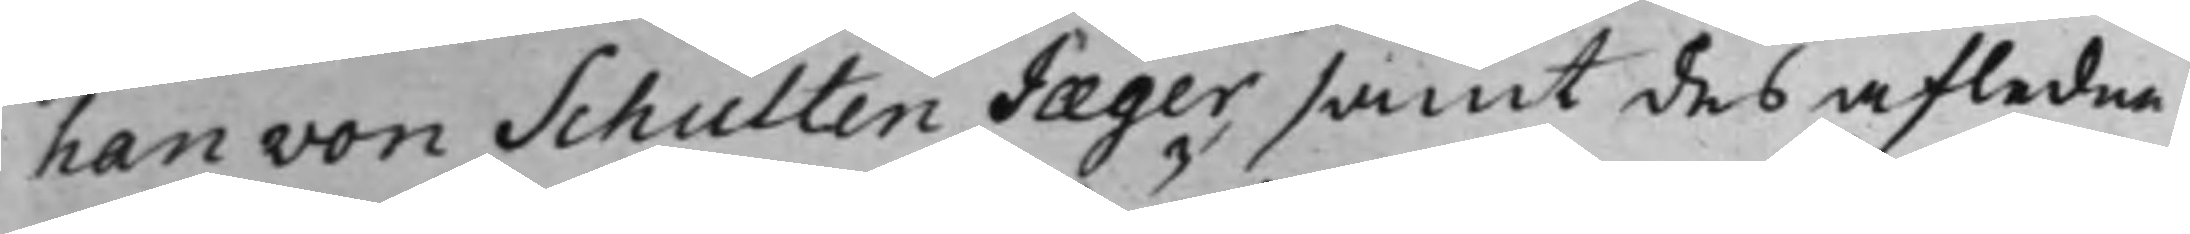han von Schulten Jæger, samt des afledne
